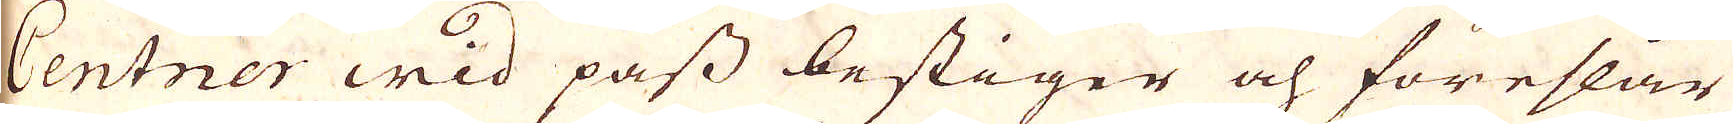Centner wid pass bestiger och föreslår
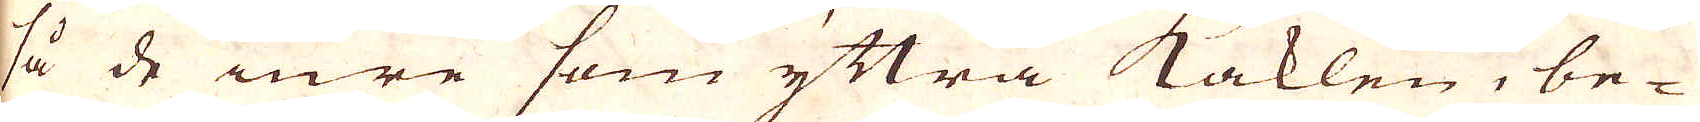så de inre som yttra Kaklen, be-
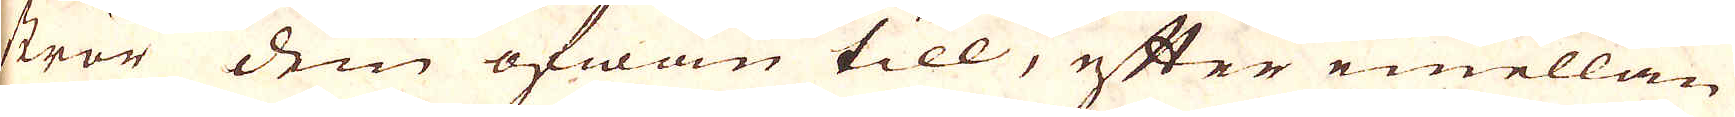strör dem ofwan till, efter emellan
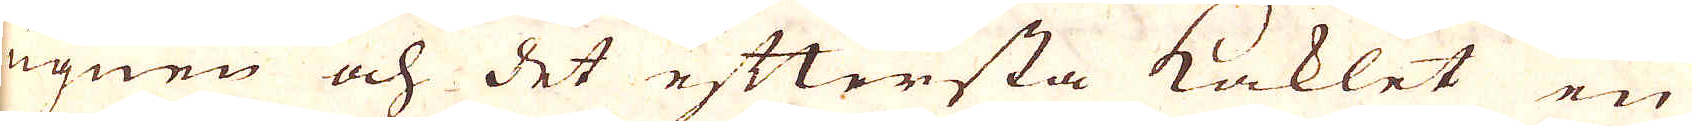ugnen och det eftersta Kaklet en
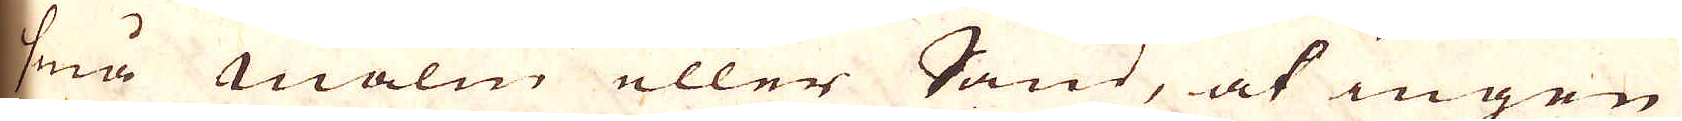små malm eller Sand, at ingen
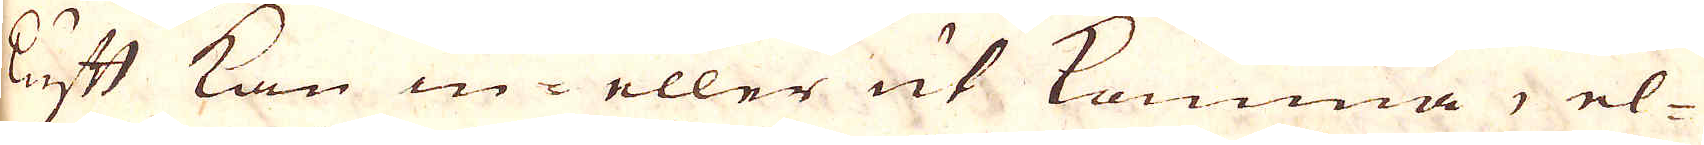luft kan in- eller ut komma, el-
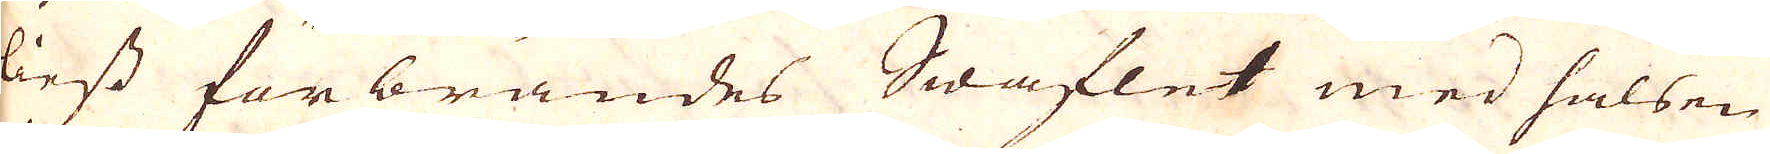liest förbrändes Swaflet med halsen
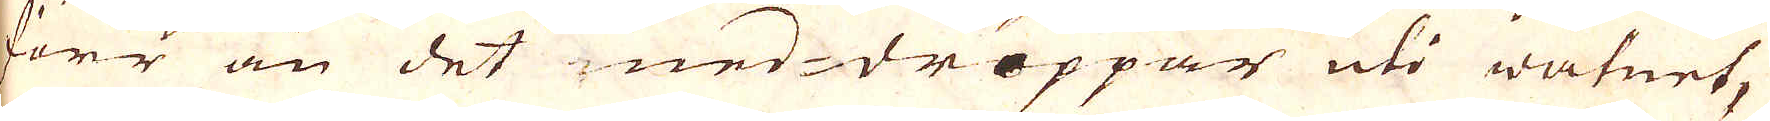förr än det ned-droppar uti watnet,
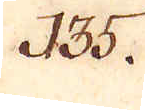135.
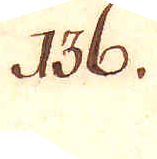136.
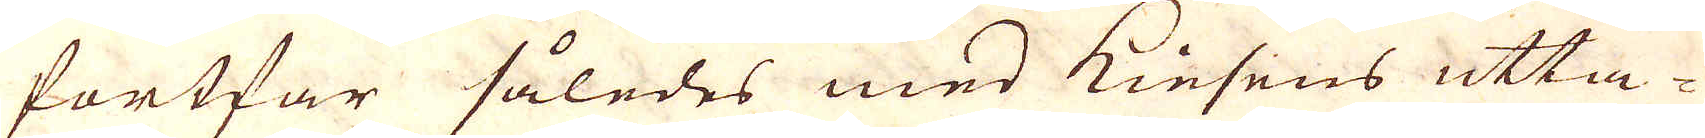fortfar således med Kiesens utta-
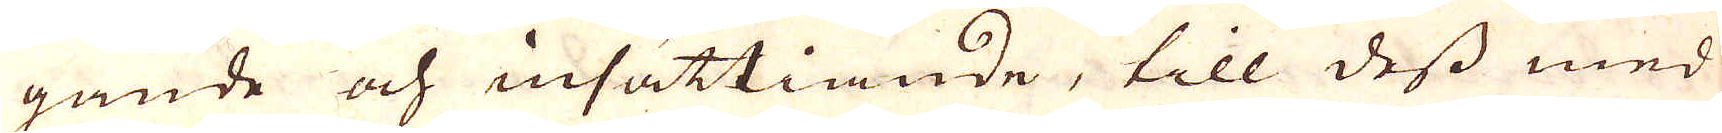gande och insättiande, till dess med
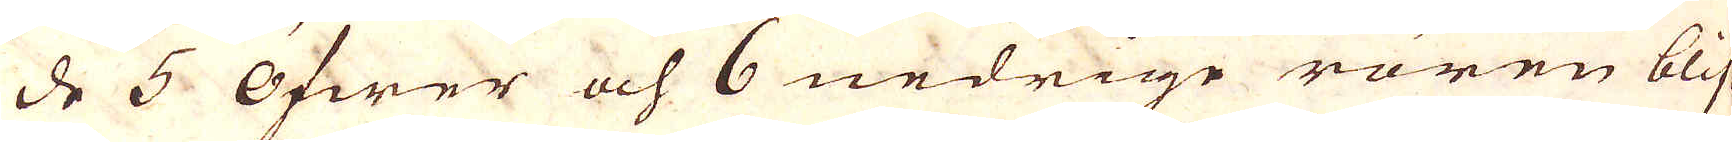de 5 Öfwer och 6 nedrige rören blif-
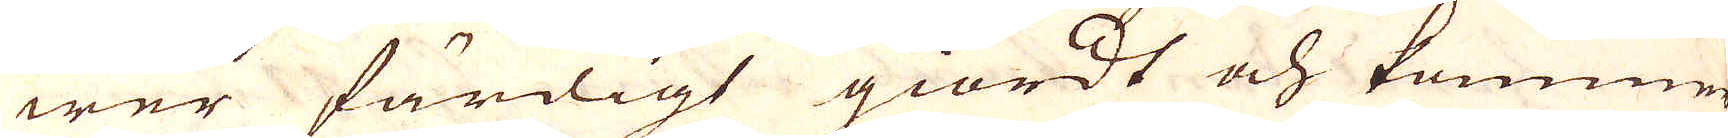wer färdigt giordt och kommer
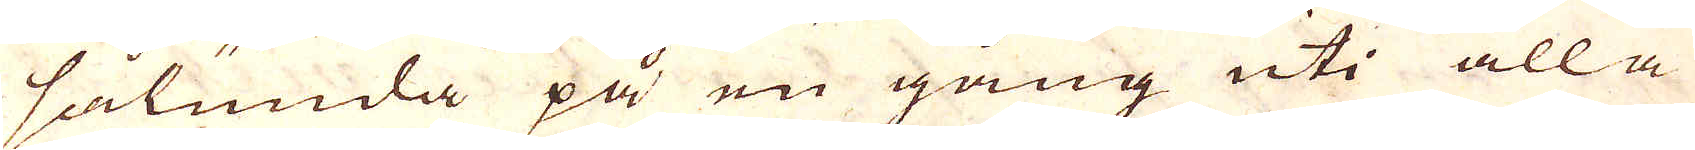sålunda på en gång uti alla
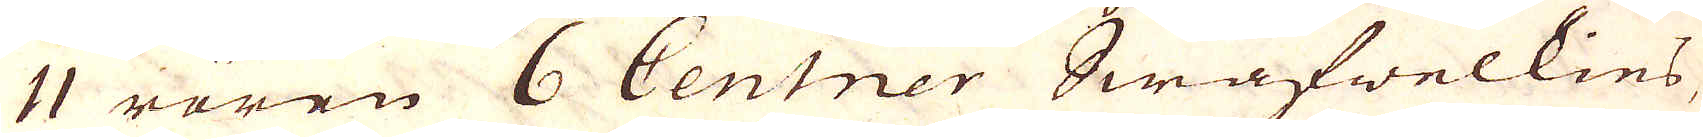11 rören 6 Centner Swafwelkies,
